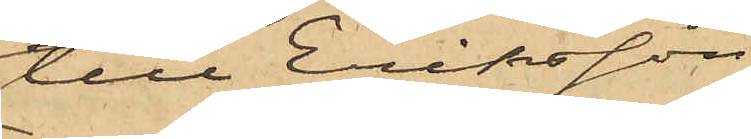till Eriksson
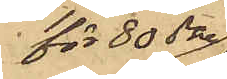för 80 öre
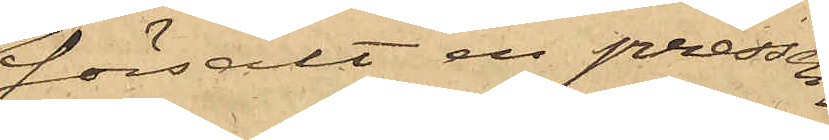försålt en pressen¬
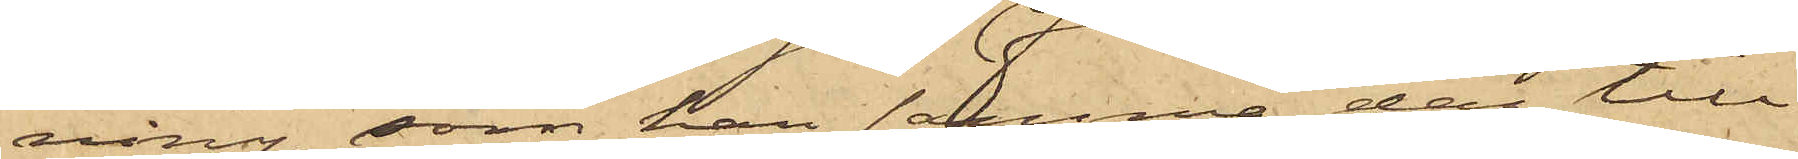ning, som han samma dag till¬
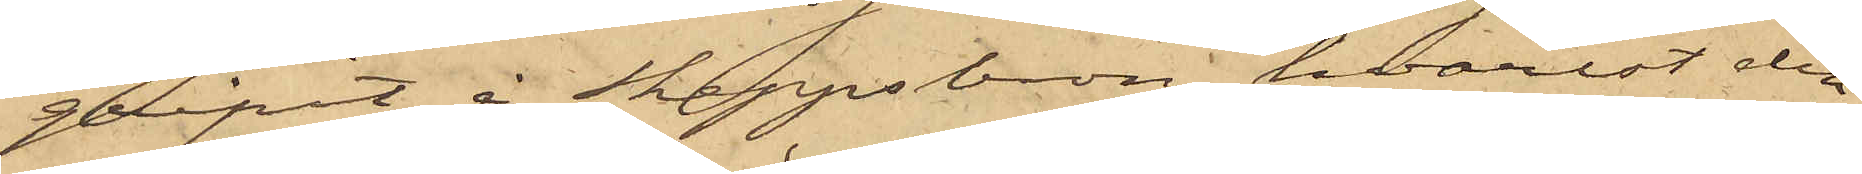gripit å Skeppsbron, hvarest den
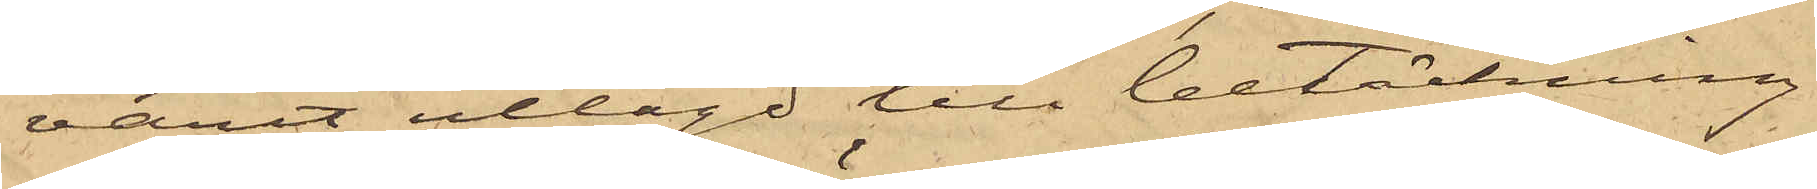varit utlagd till betäckning
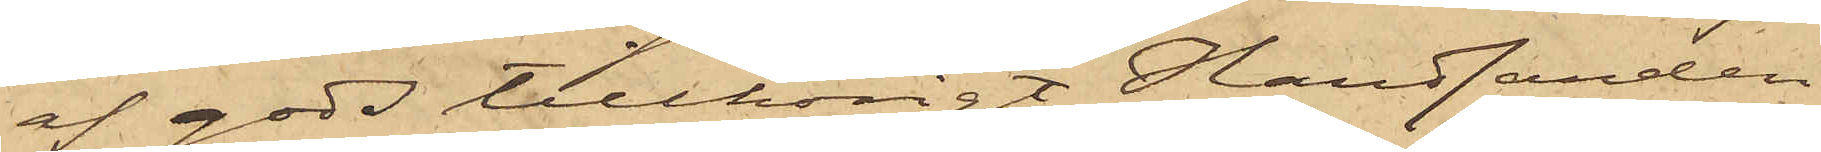af gods tillhörigt Handlanden
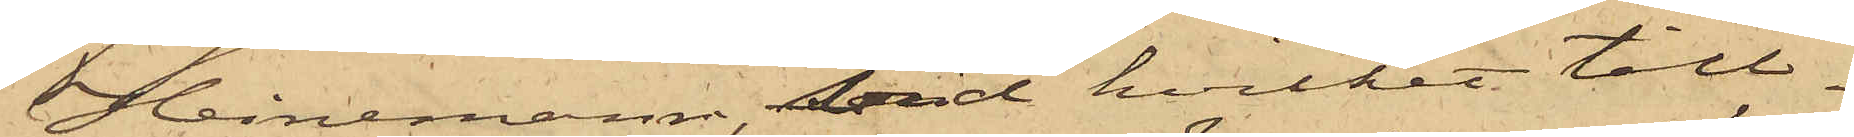Heinemann, vid hvilket till¬
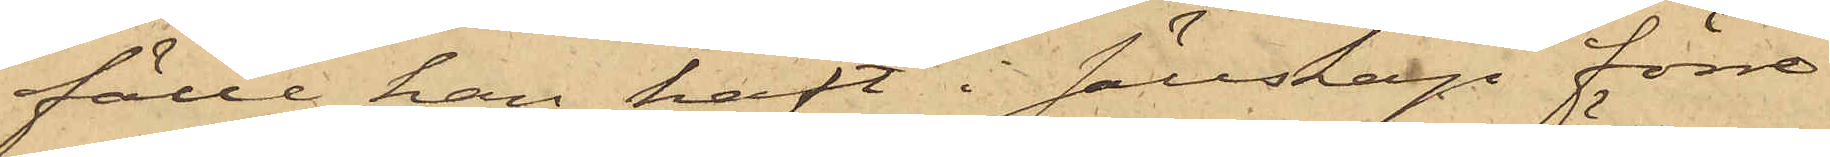fälle han haft i sällskap förre
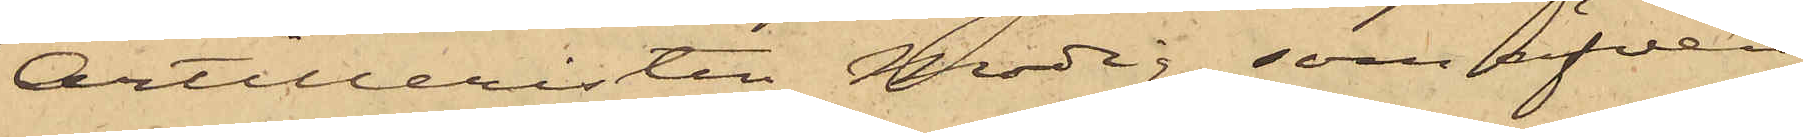Artilleristen Modig, som äfven
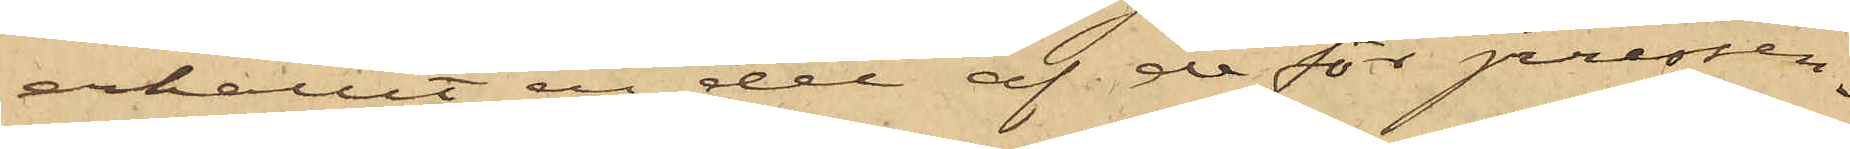erhållit en del af de för pressen¬
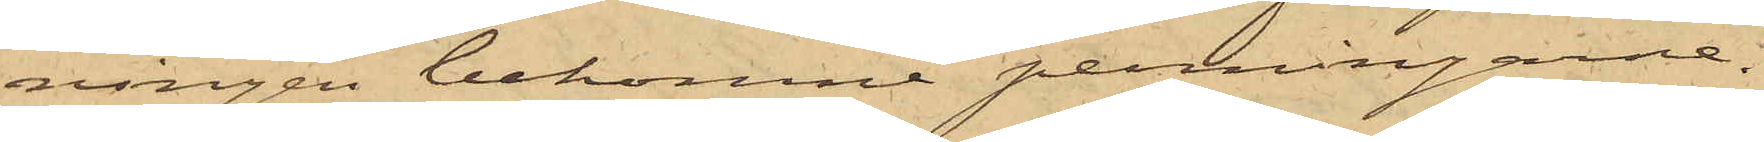ningen bekomne penningarne.
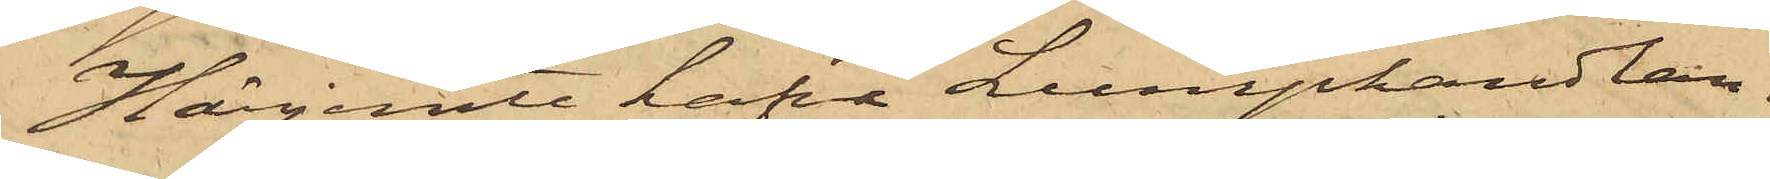Härjemte hafva Lumphandlan¬
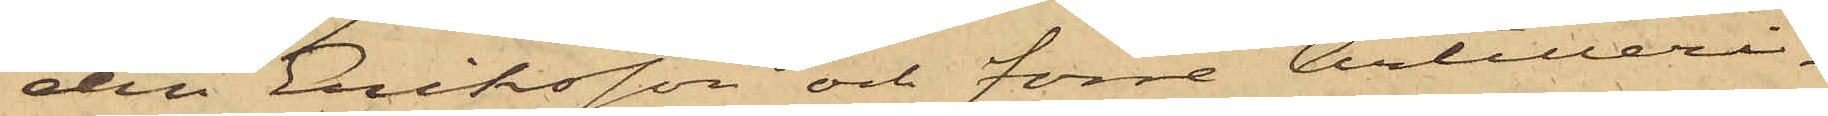den Eriksson och förre Artilleri¬
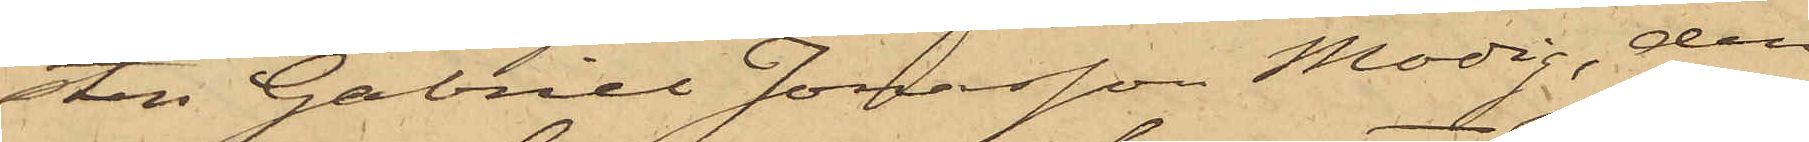sten Gabriel Jonasson Modig, den
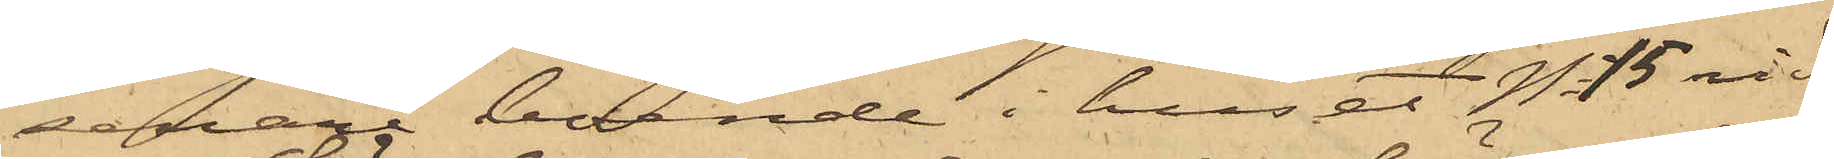senare boende i huset No 15 vid
